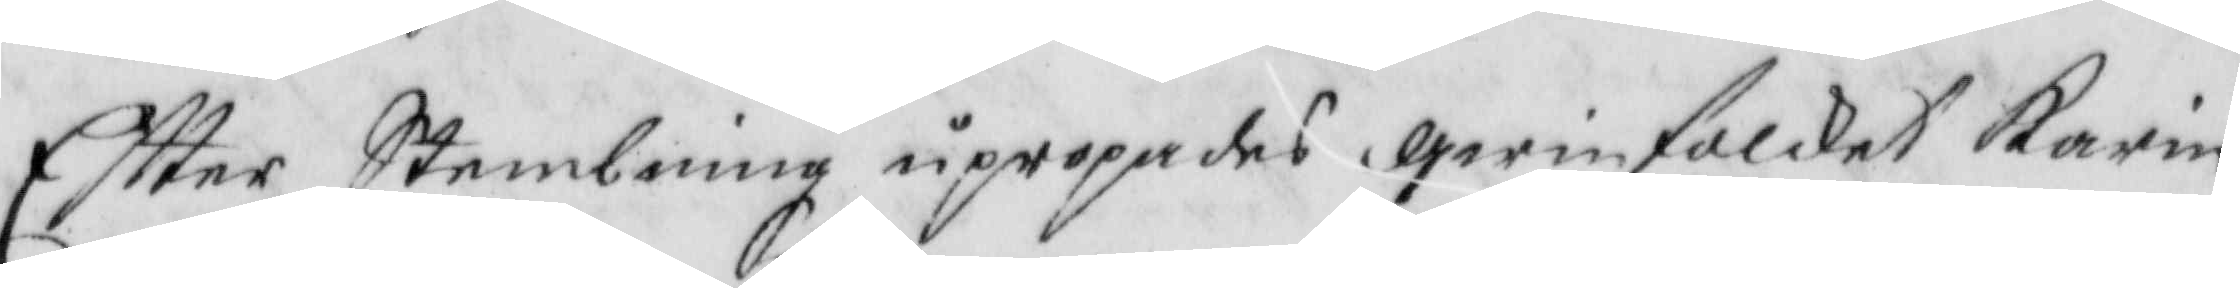Eftter Stembning upropades qwinfolcket karin
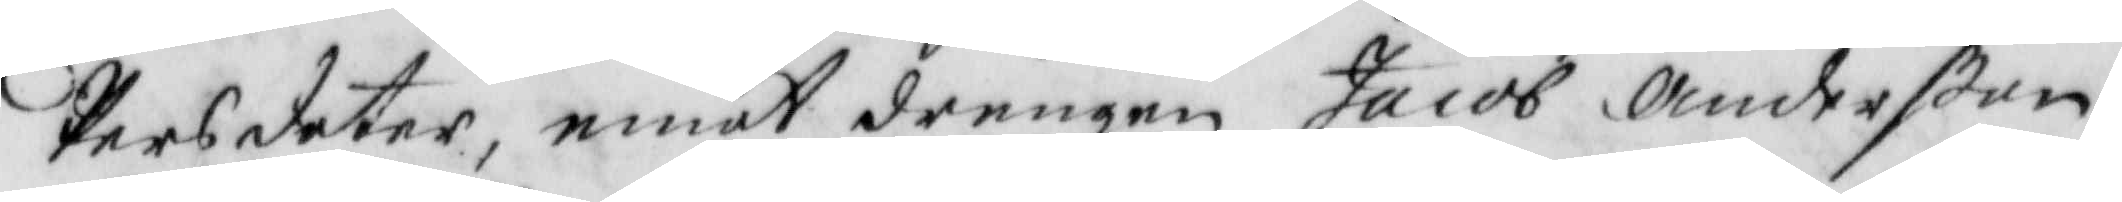Persdotter, emot drengen Jacob Anderßon,
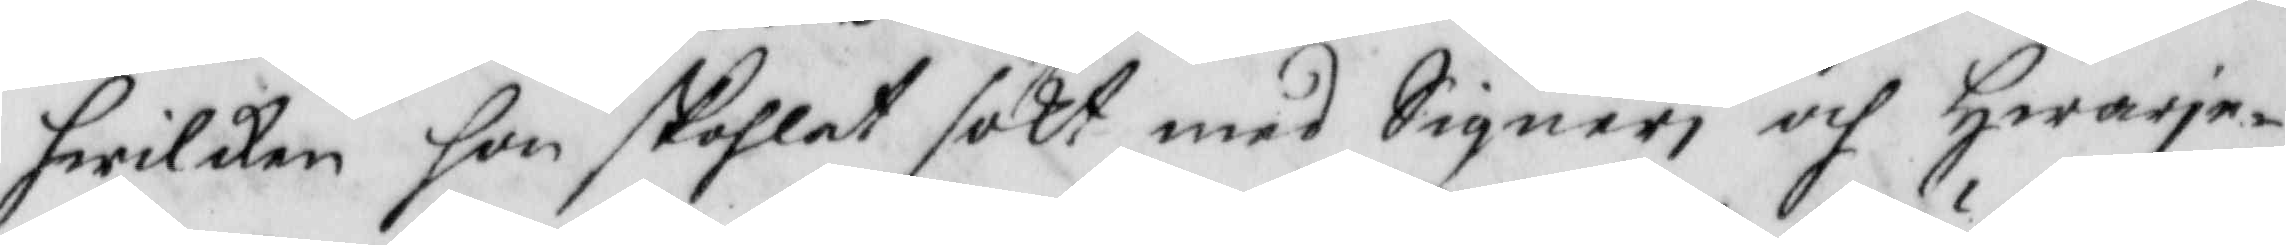hwilken hon skohlat sökt med Signeri och Hwarje¬
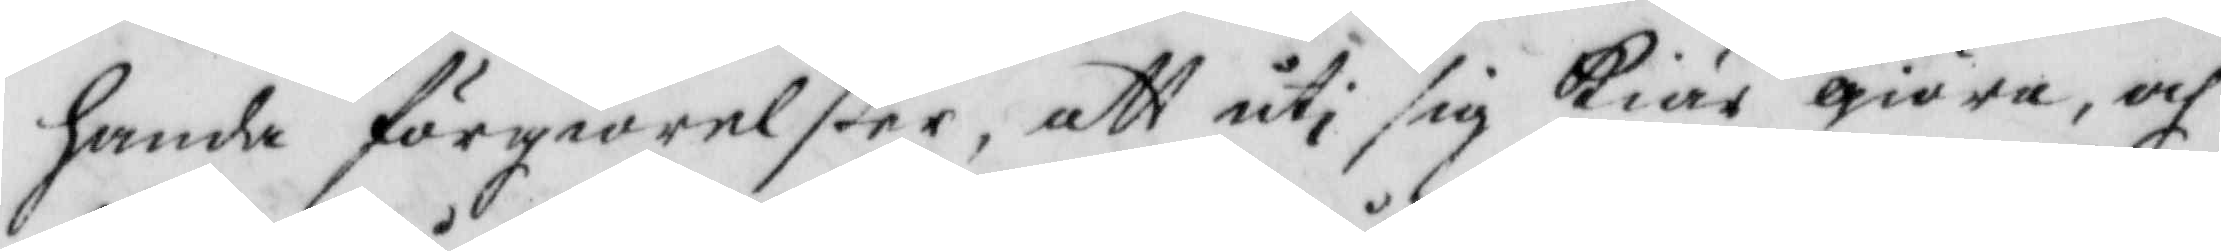handa förgiörelßer, att uti sig Kiäär giöra, och
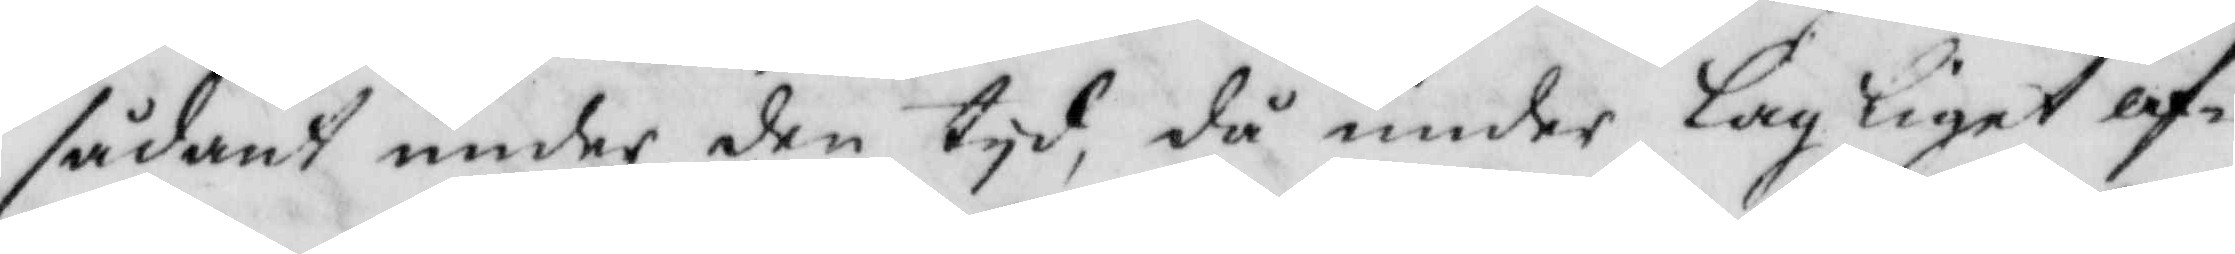sådant under den tyd, då under lagliget af¬
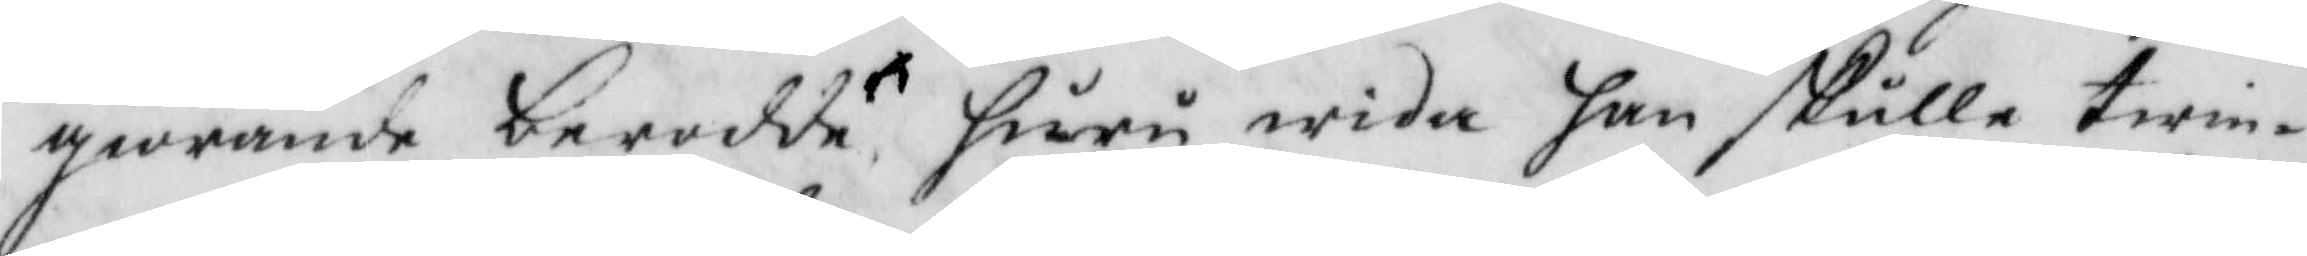giörande berodde huru wida han skulle twin¬
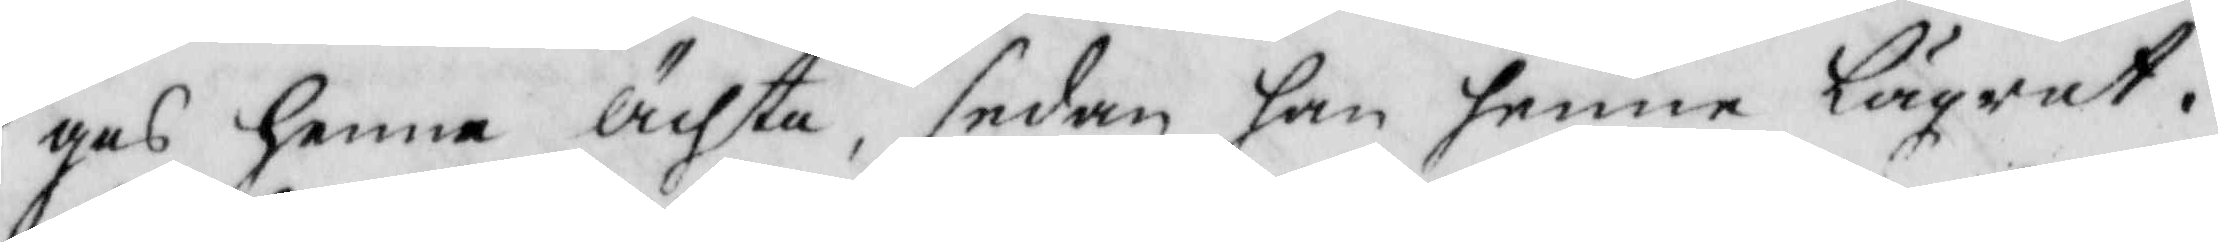gas henne Ächta, sedan han henne Lägrat.
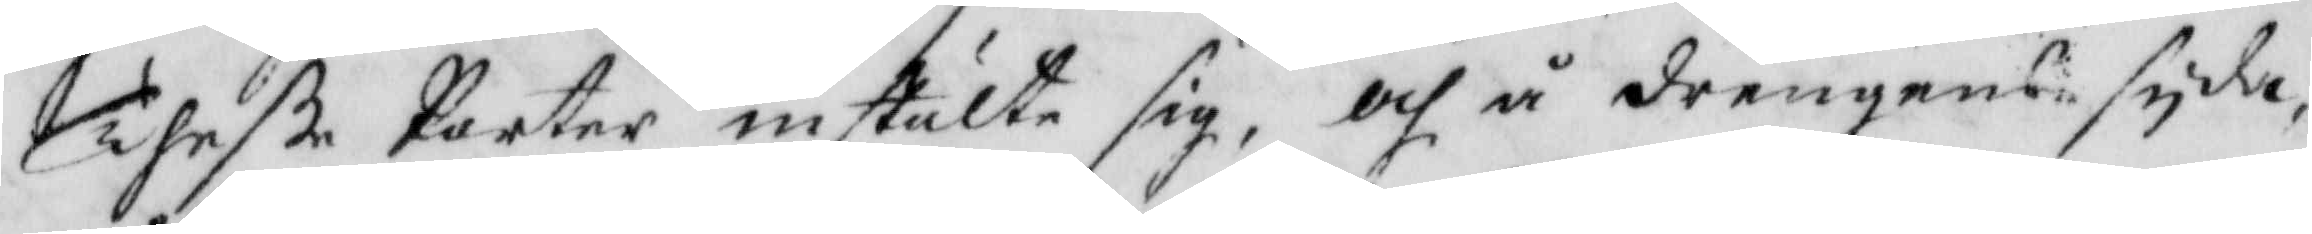Theße Parter inatälte sig, och å drengens syda
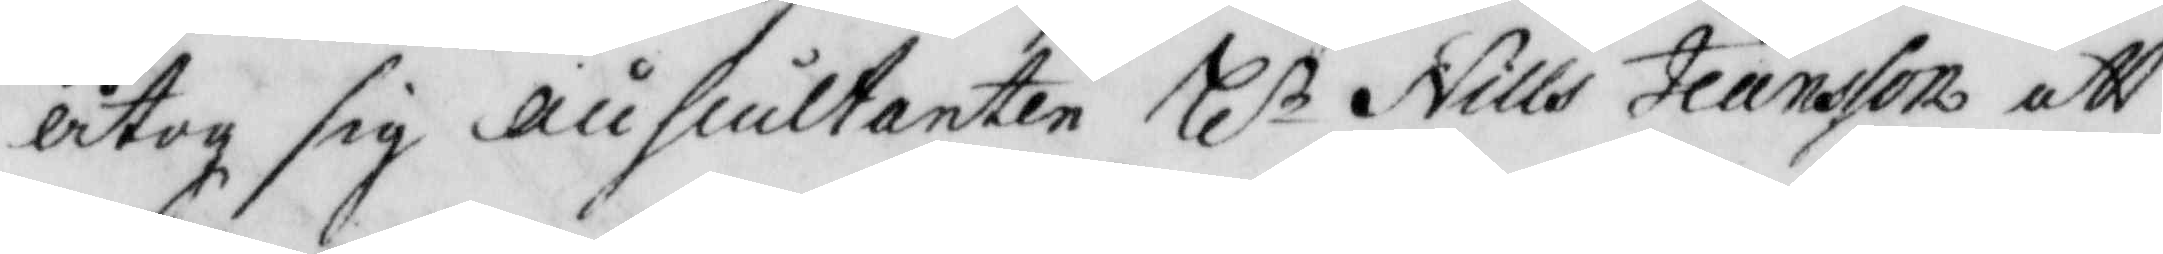åtog sig auscultanten Hl:r Nills Jeansson att
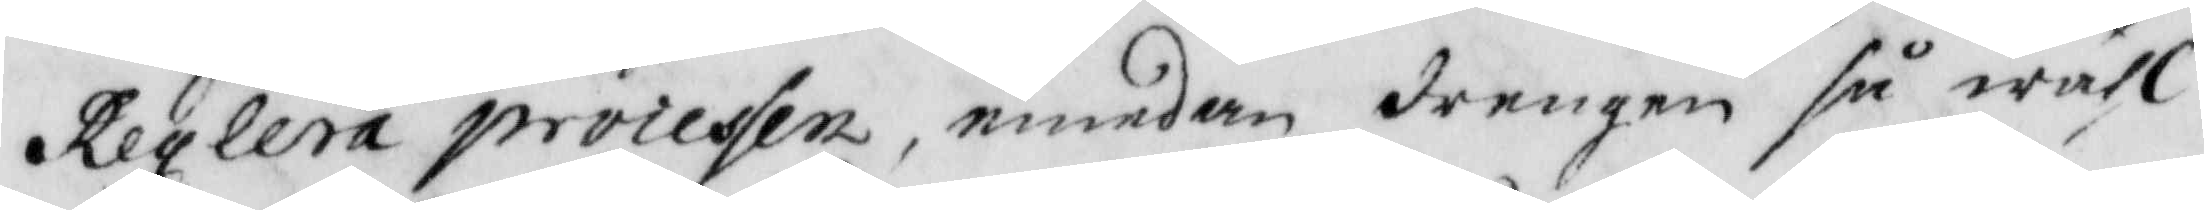reglera proiessen, emedan drengen så wähl
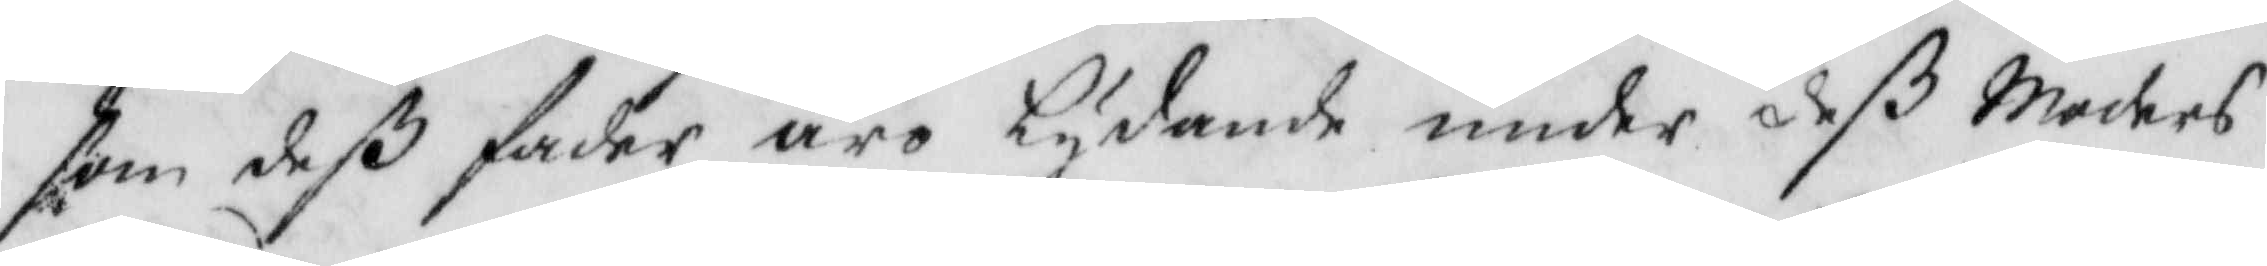som deß fader äro Lydande under deß Moders
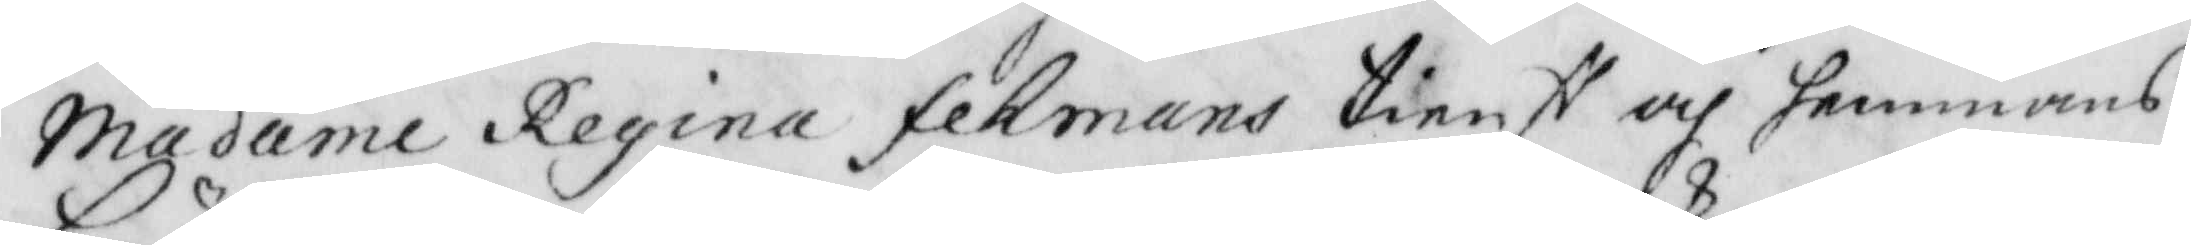Madame Regina fekmans tienst och hemmans
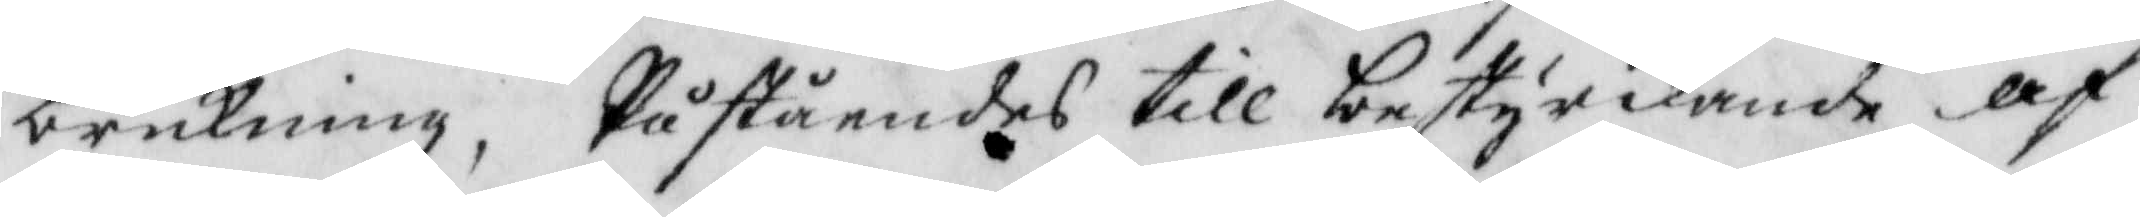brukning, Påståendes till bestyrkande af
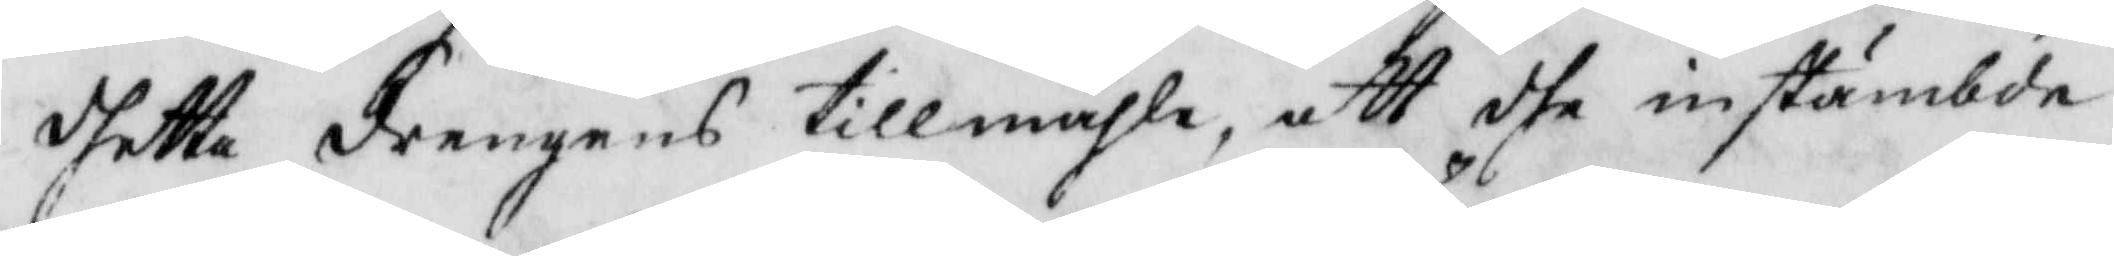dhette drengens tillmähle, att dhe instämbde
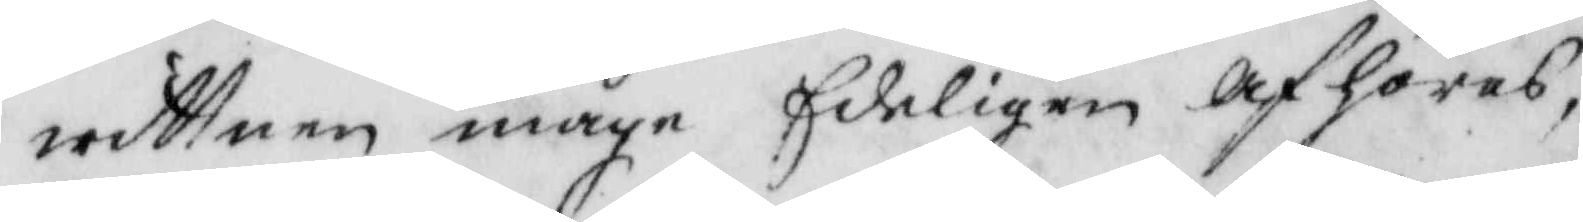wittnen måge Edeligen afhöras.
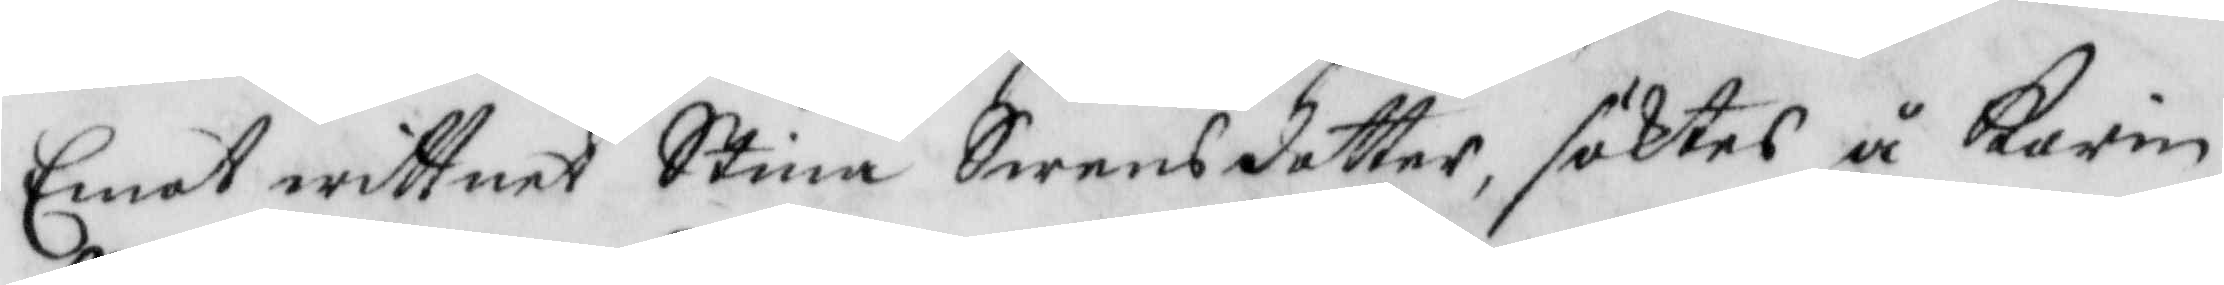Emot wittnet Stina Swensdotter, söktes å Karin
